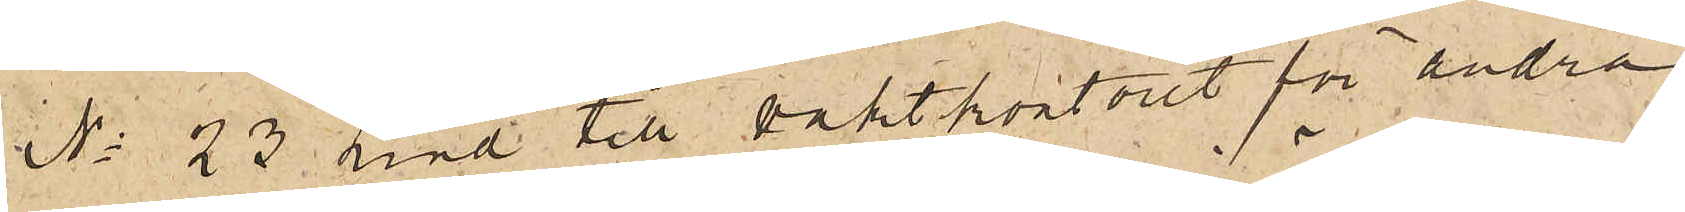No 23 Lind till vaktkontoret för andra
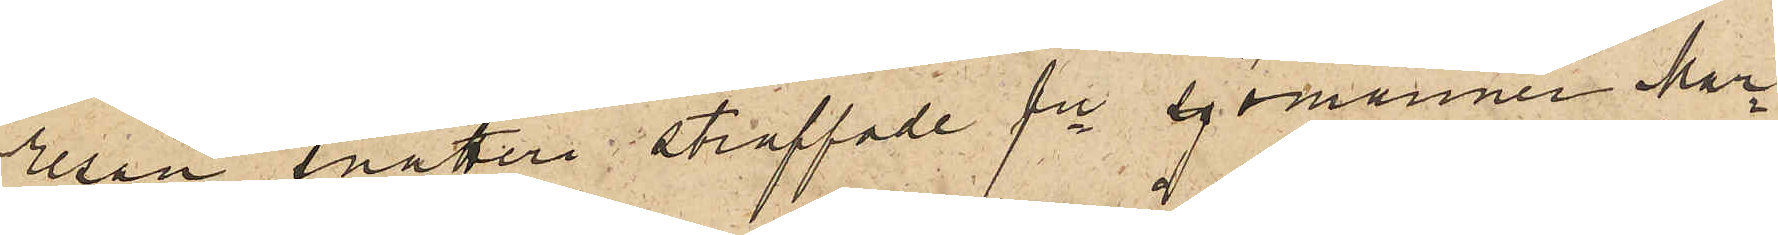resan snatteri straffade fre sjömannen Mar¬
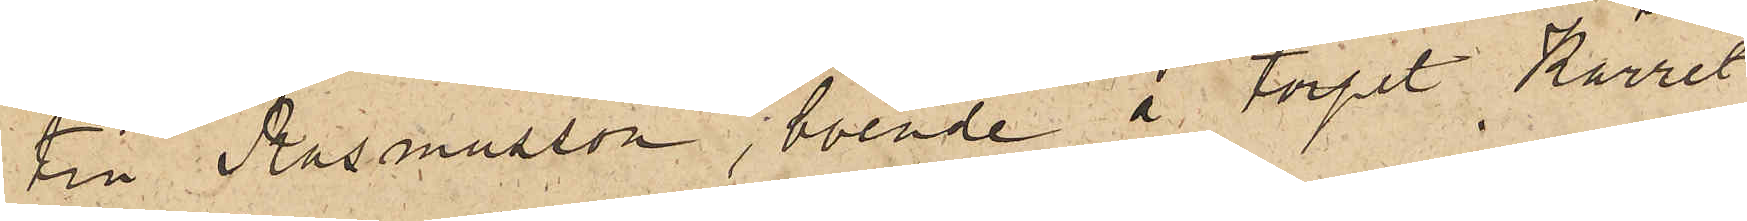tin Rasmusson, boende å torpet Kärret
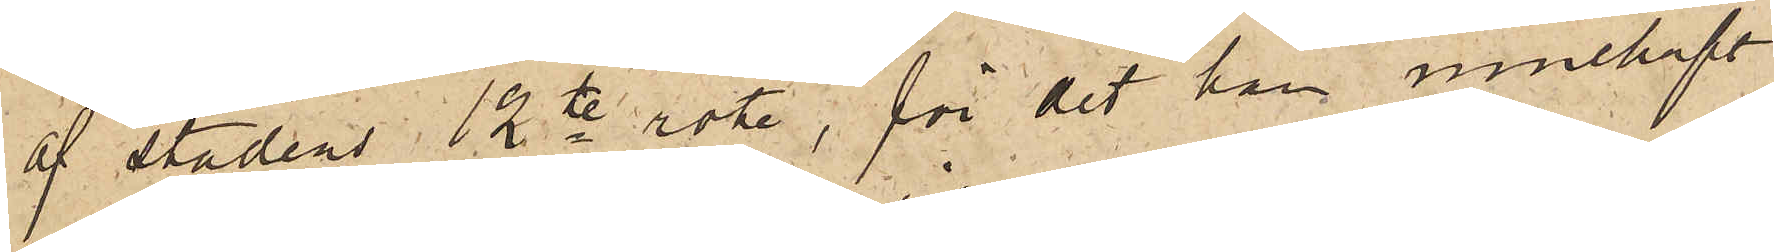af stadens 12te rote, för det han innehaft
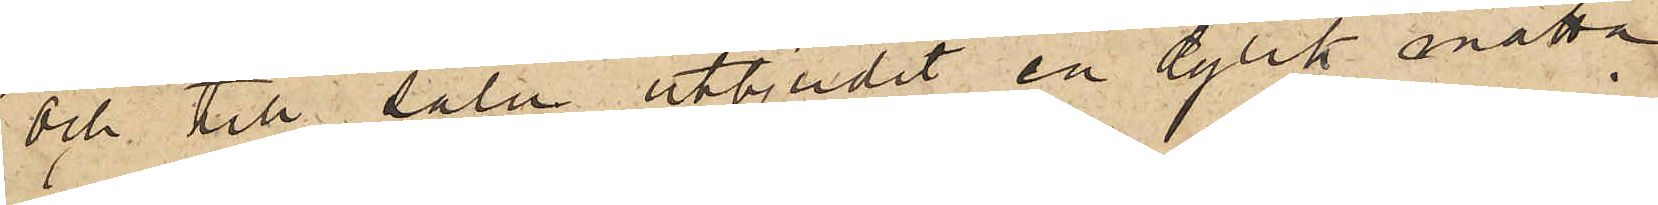och till salu utbjudit en dylik matta,
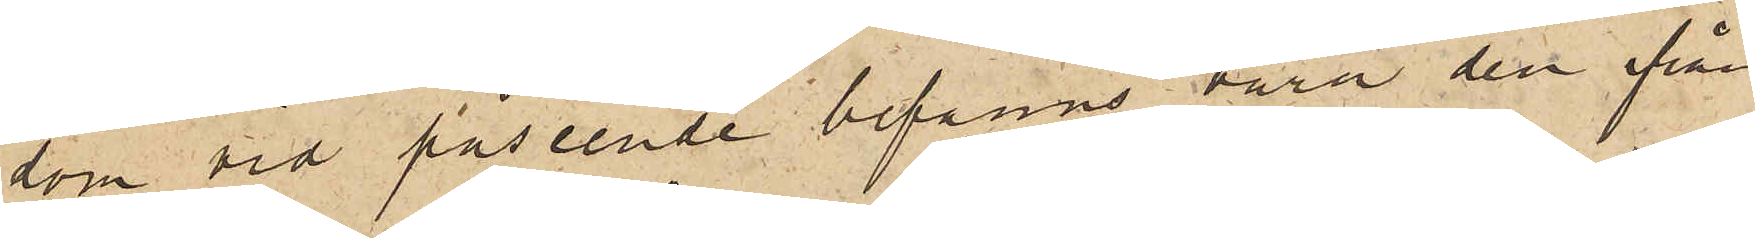som vid påseende befanns vara den från
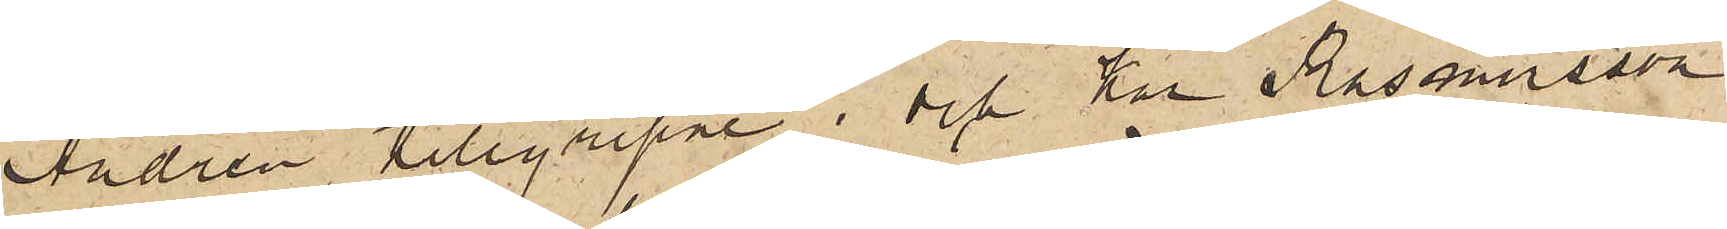Andrén tillgripne; och har Rasmusson
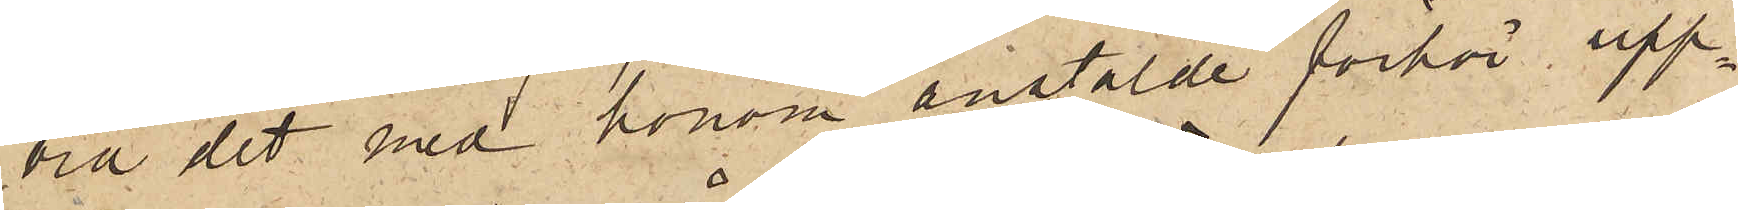vid det med honom anstälde förhör upp¬
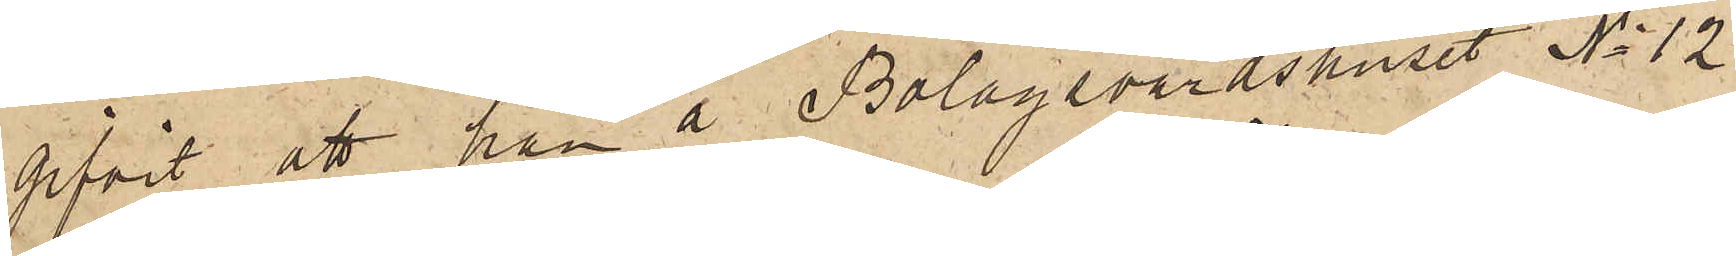gifvit att han å Bolagsvärdshuset No 12
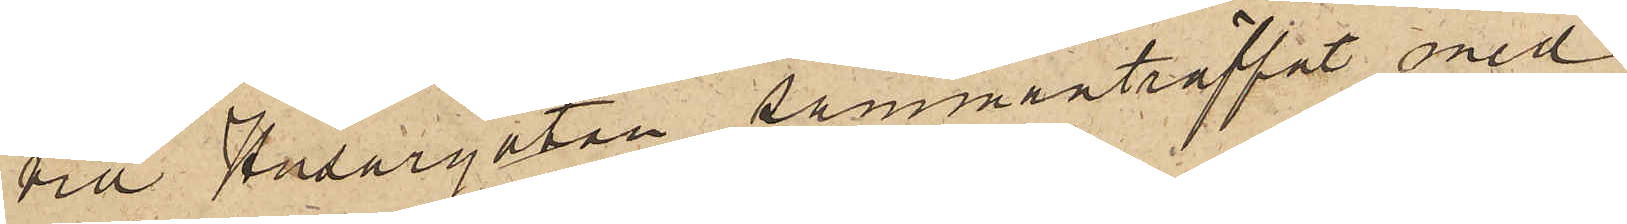vid Husargatan sammanträffat med
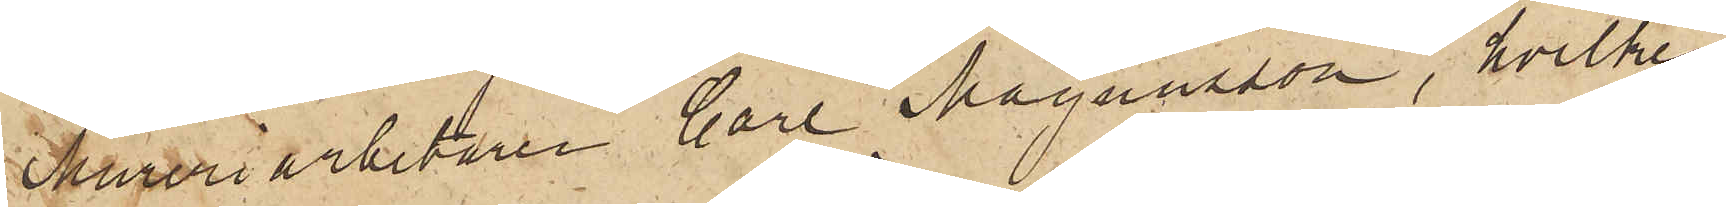Mureriarbetaren Carl Magnusson, hvilken
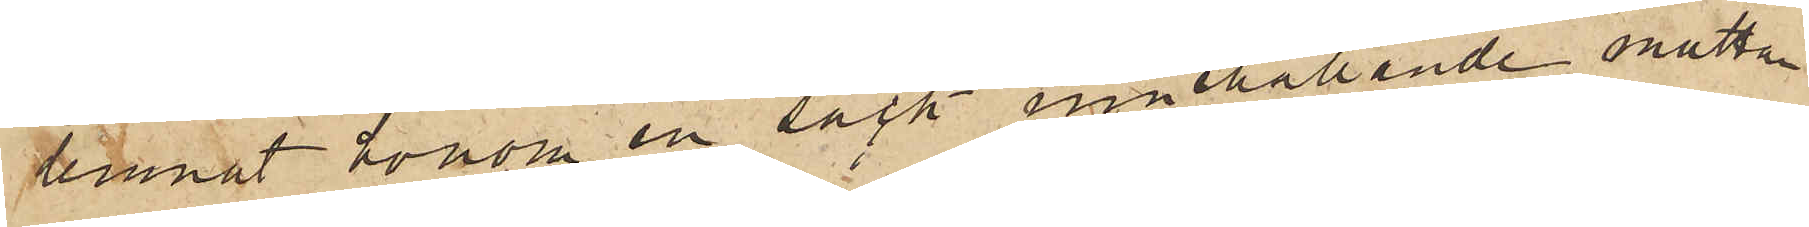lemnat honom en säck innehållande mattan
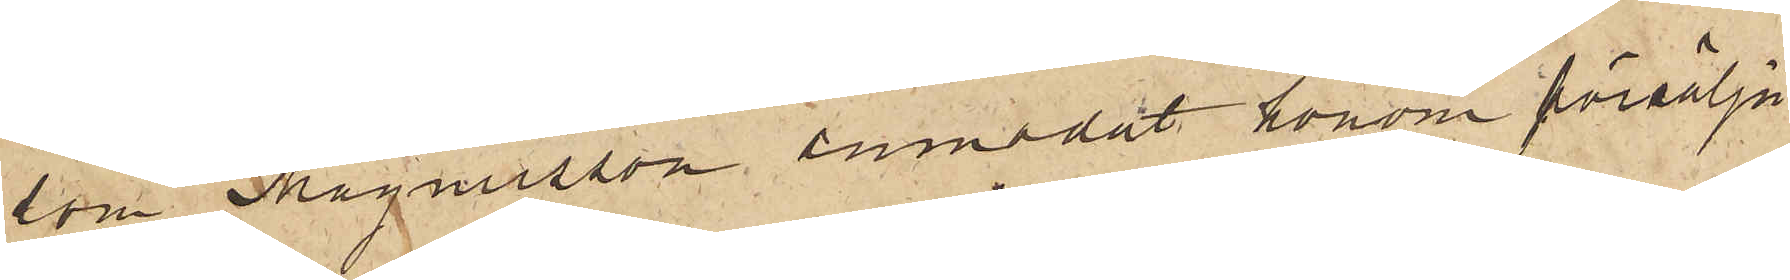som Magnusson anmodat honom försälja.
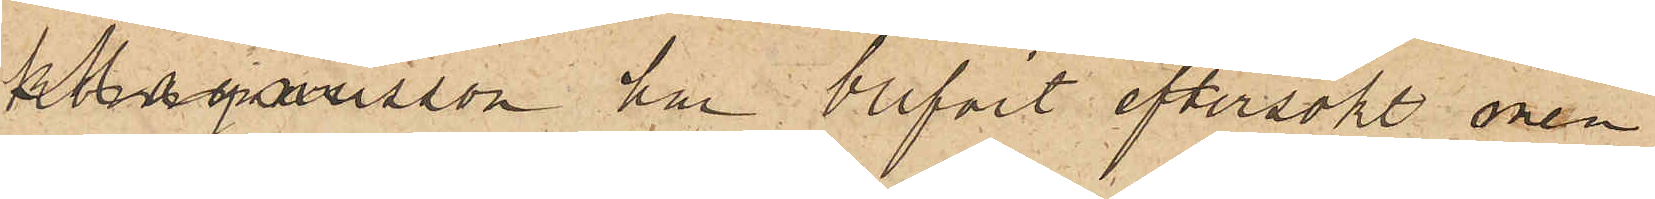Magnusson har blifvit eftersökt, men
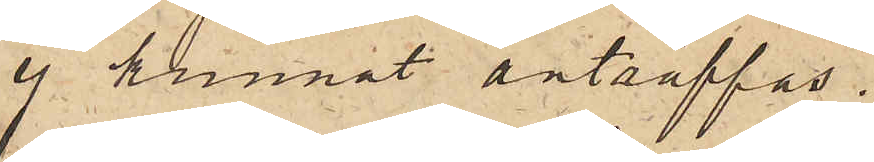ej kunnat anträffas.
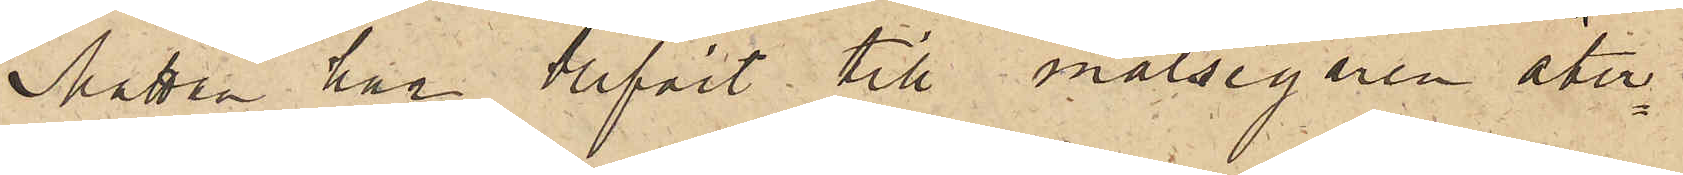Mattan har blifvit till målsegaren åter¬
